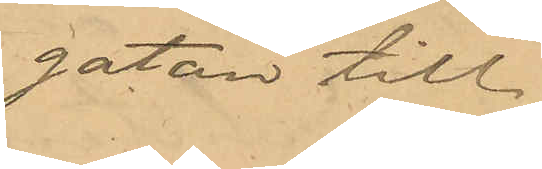gatan till,
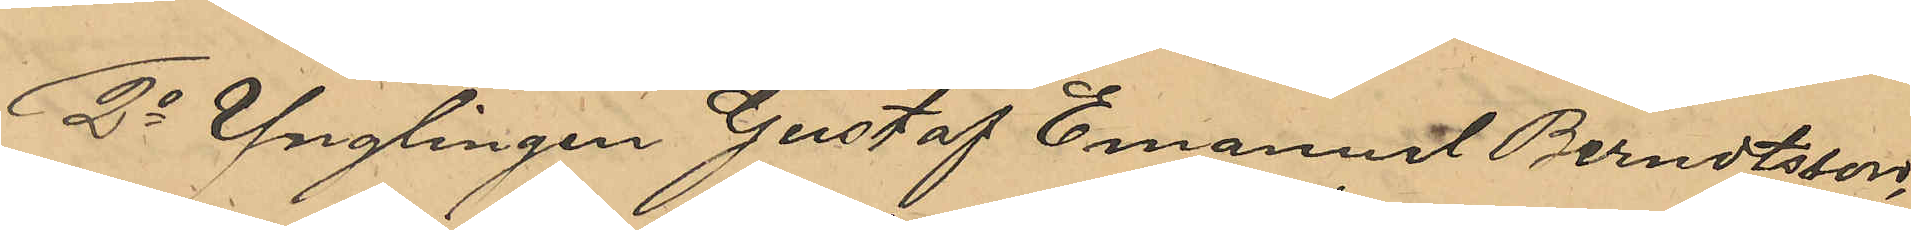2o Ynglingen Gustaf Emanuel Berndtsson
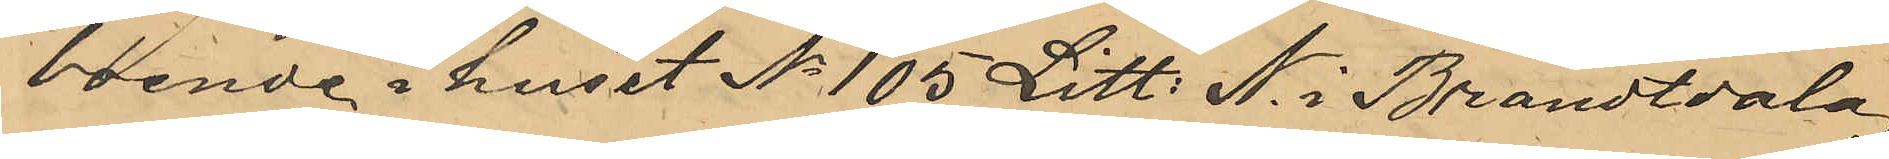boende i huset No 105 Litt. N i Brandtdala;
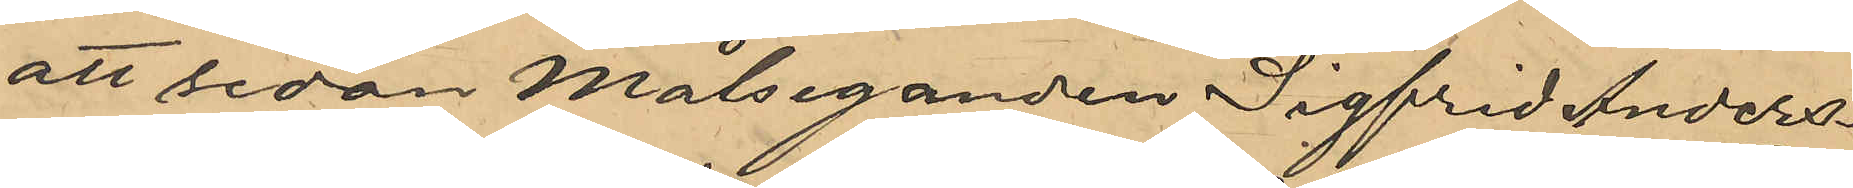att sedan målseganden Sigfrid Anders¬
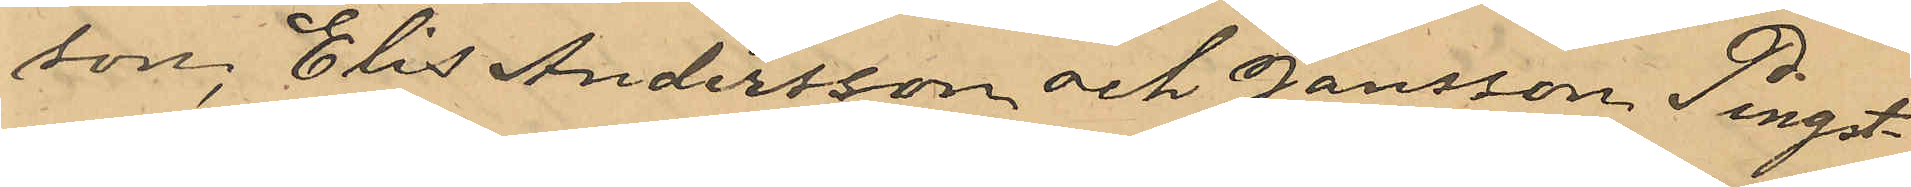son, Elis Andersson och Jansson Pingst¬
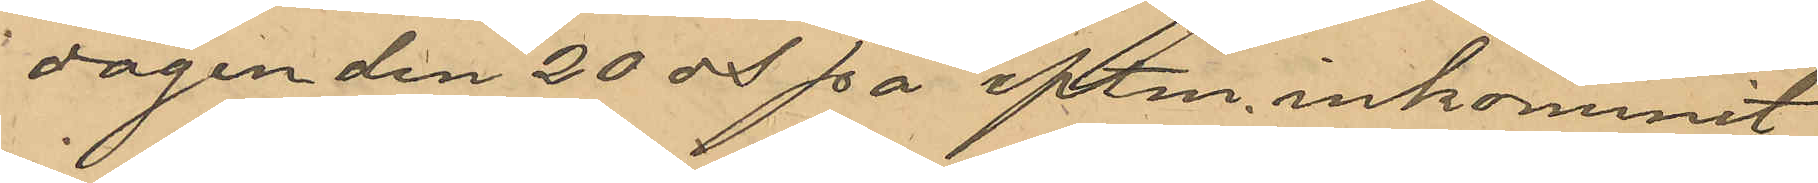dagen den 20 ds på eftm. inkommit
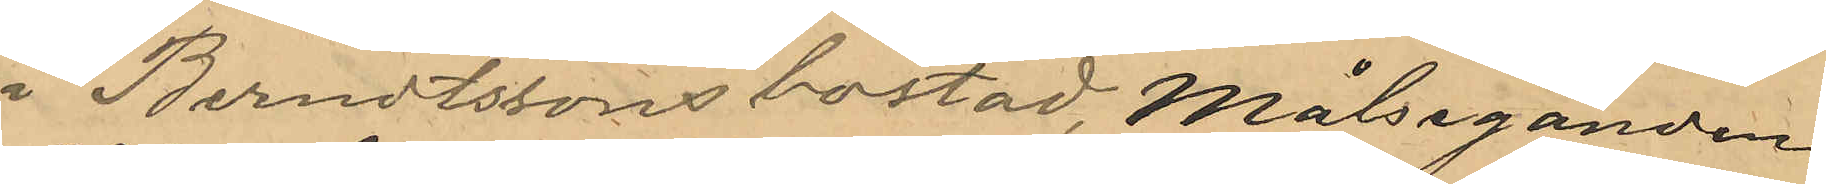i Berndtssons bostad, Målseganden
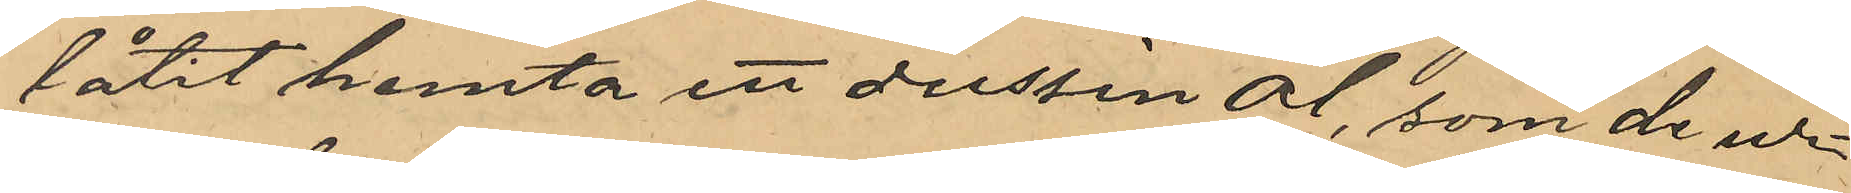låtit hemta ett dussin öl, som de ur¬
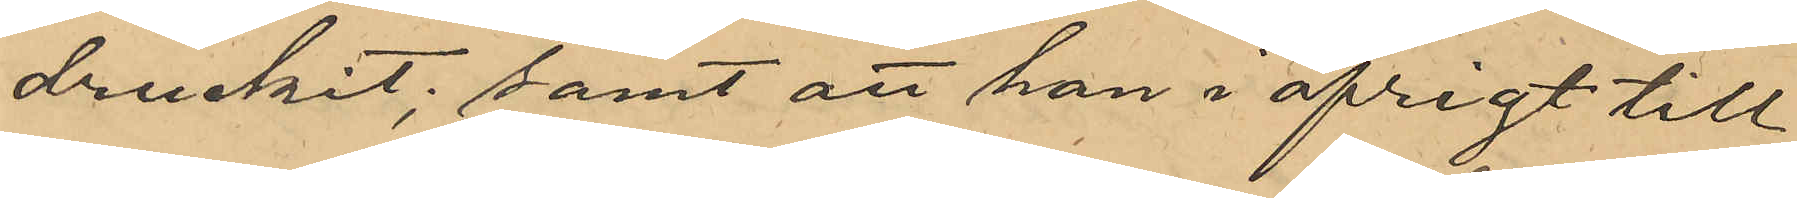druckit; samt att han i öfrigt till 
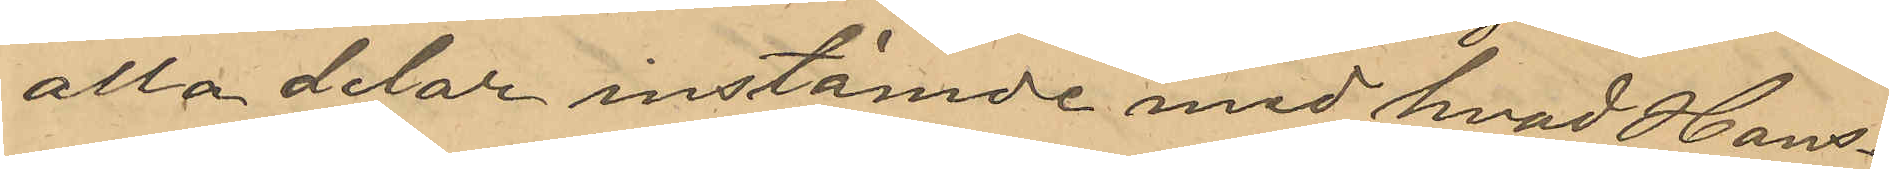alla delar instämde med hvad Hans¬
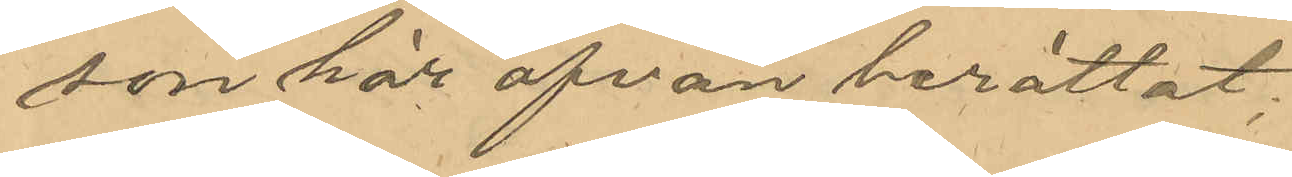som här ofvan berättat.
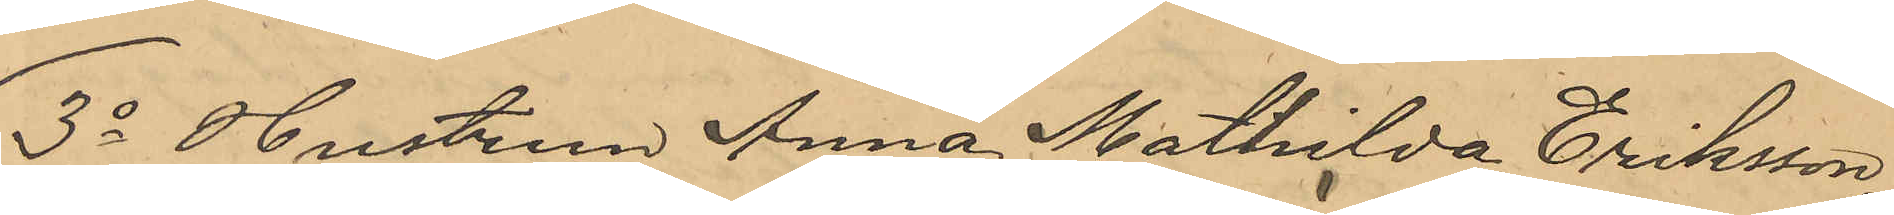3o Hustrun Anna Mathilda Eriksson,
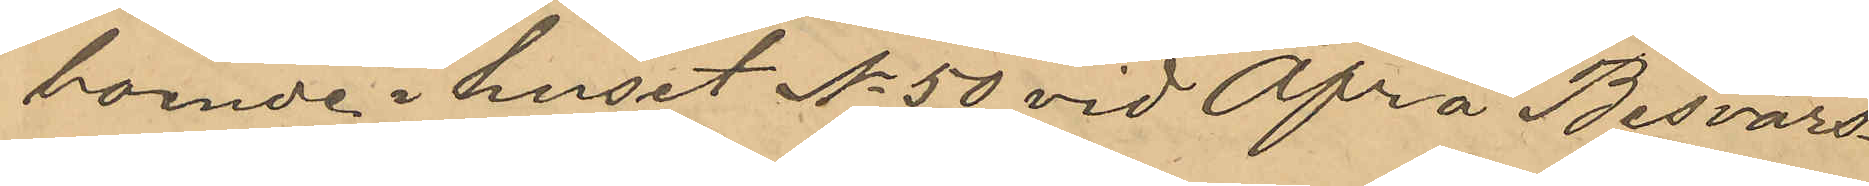boende i huset No 50 vid Öfra Besvärs¬
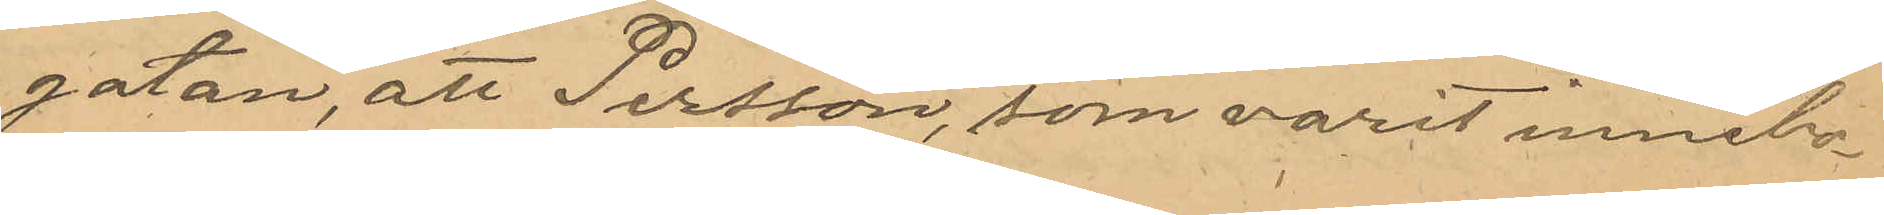gatan, att Persson, som varit innebo¬
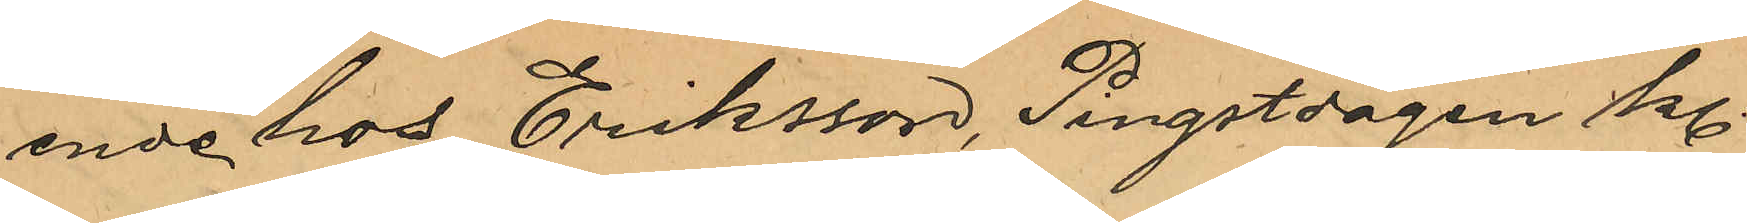ende hos Eriksson, Pingstdagen Kl
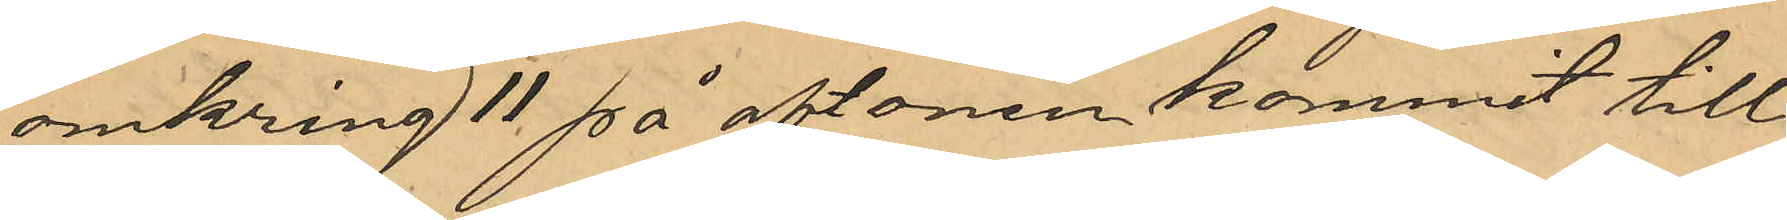omkring 11 på aftonen kommit till
